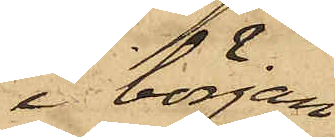i början
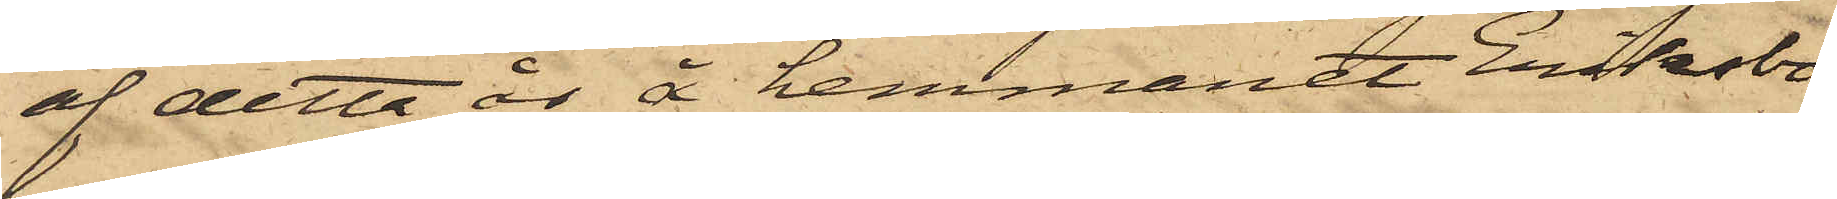af detta år å hemmanet Eriksbo
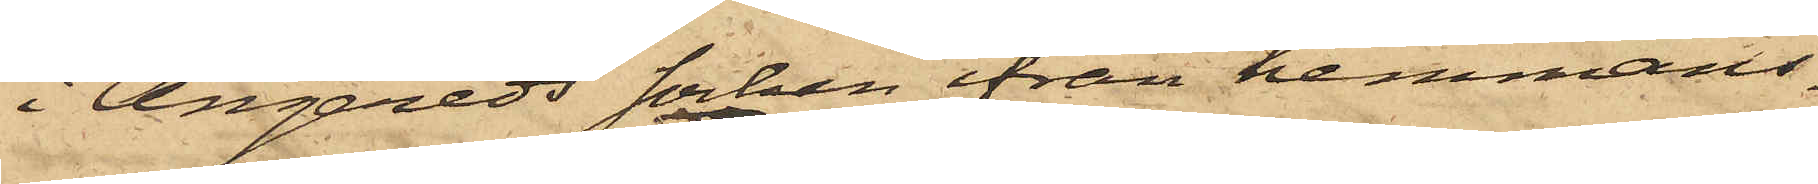i Angereds Socken ifrån hemmans¬
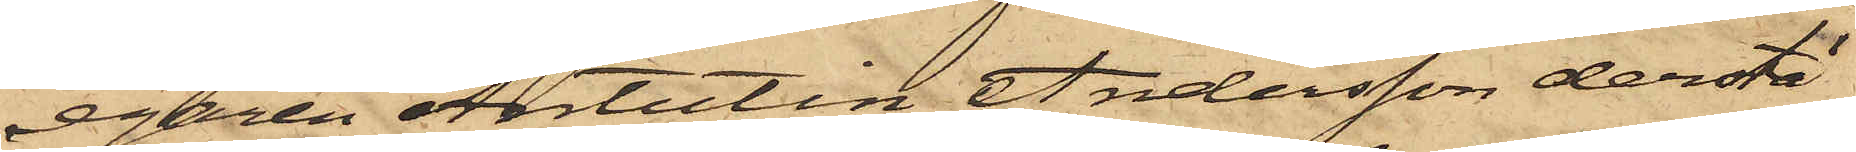egaren Antutin Andersson derstä¬
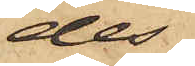des
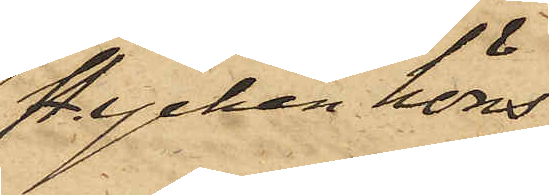stycken höns,
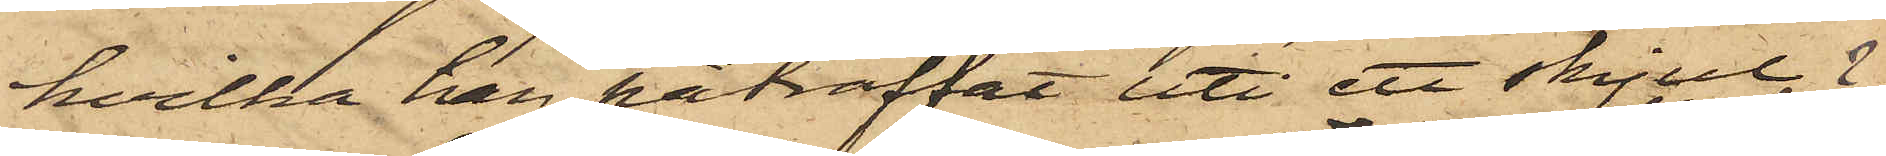hvilka han påträffat uti ett skjul
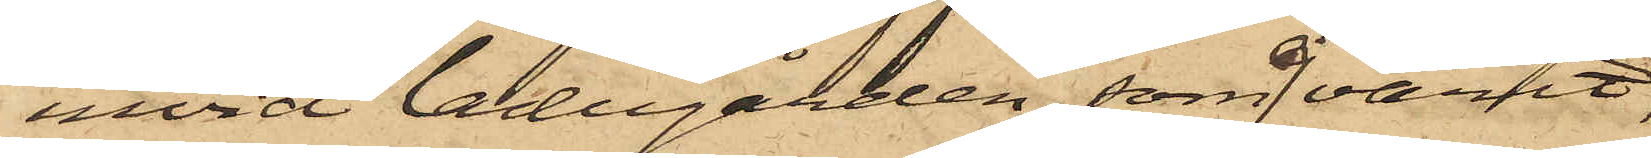invid ladugården, som ej varit
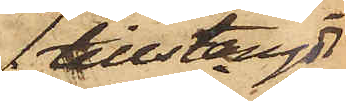tillstängd,
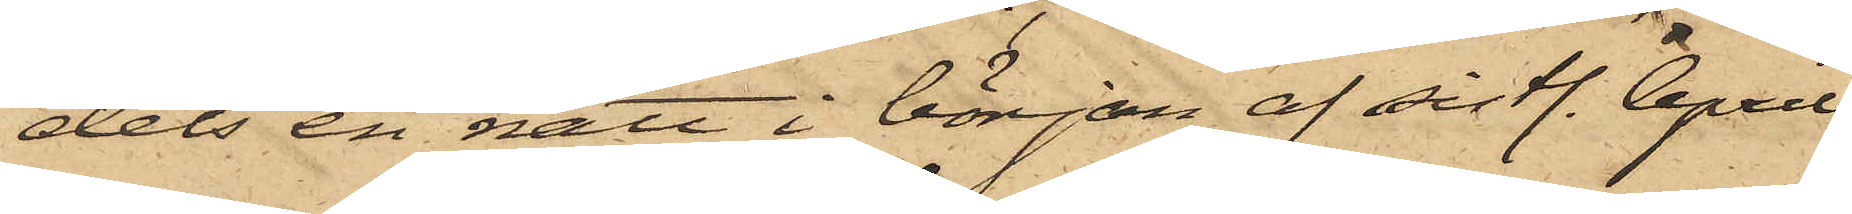dels en natt i början af sistl. April
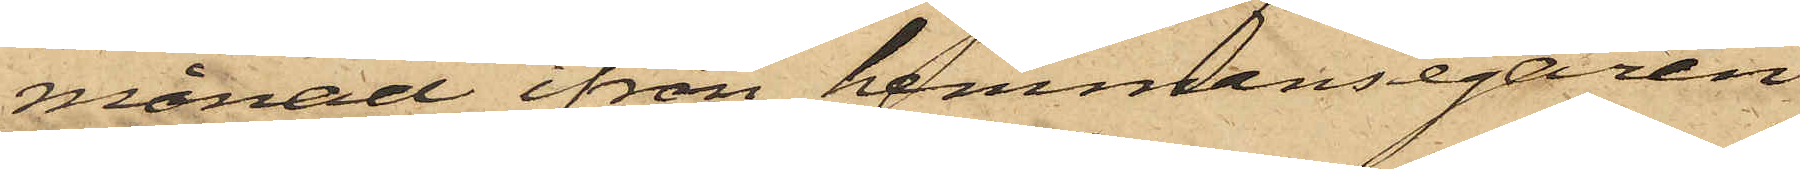månad ifrån hemmansegaren
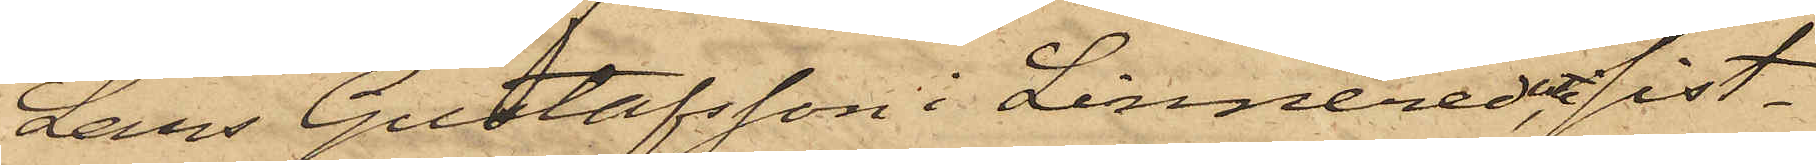Lars Gustafsson i Linnered, uti sist¬
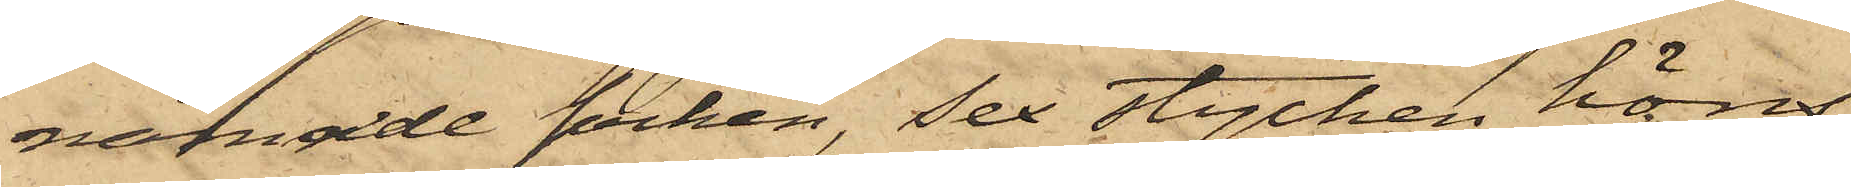nämnde socken, sex stycken höns,
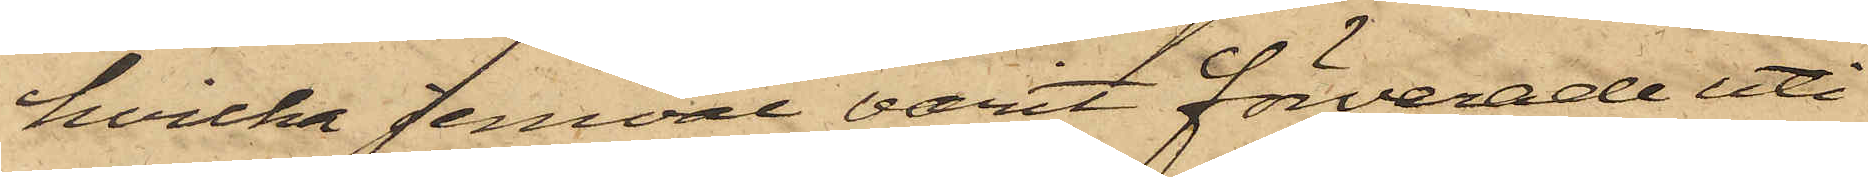hvilka jemväl varit förvarade uti
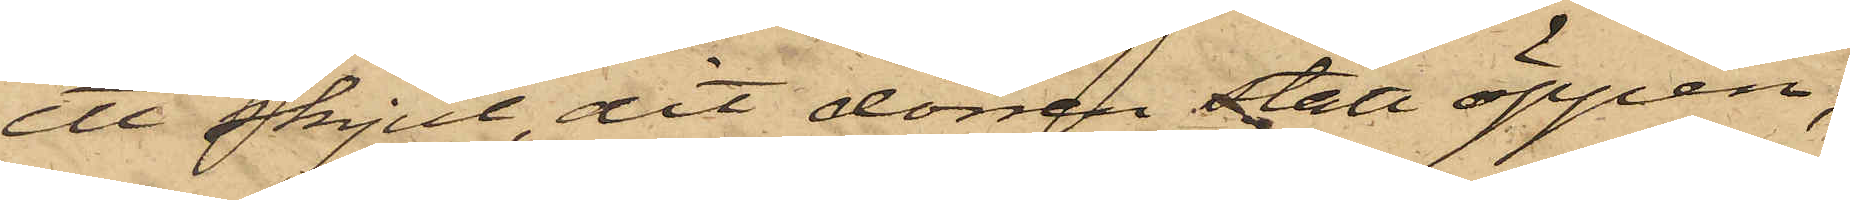ett skjul, dit dörren stått öppen;
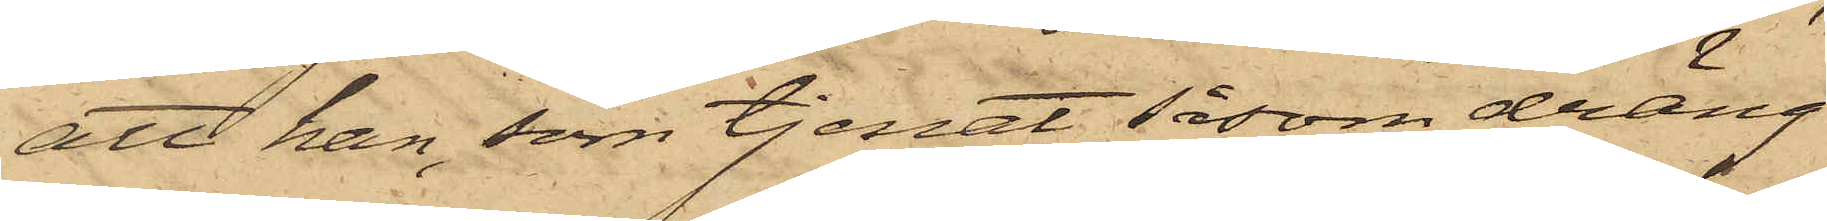att han, som tjenat såsom dräng
